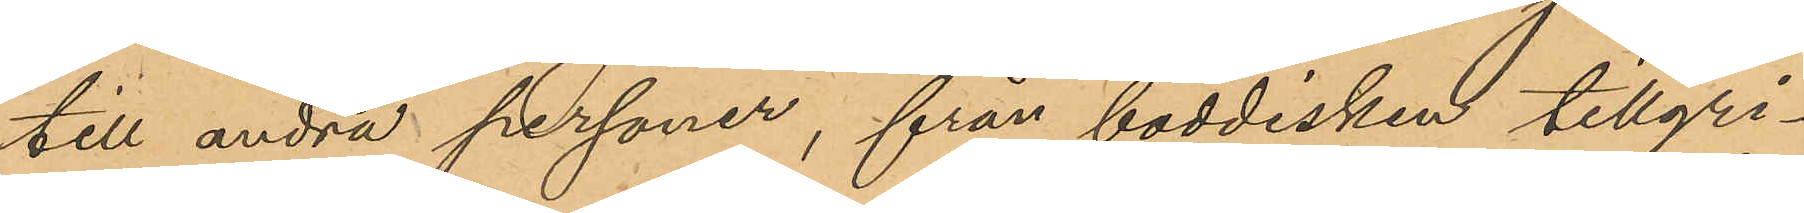till andra personer, från boddisken tillgri¬
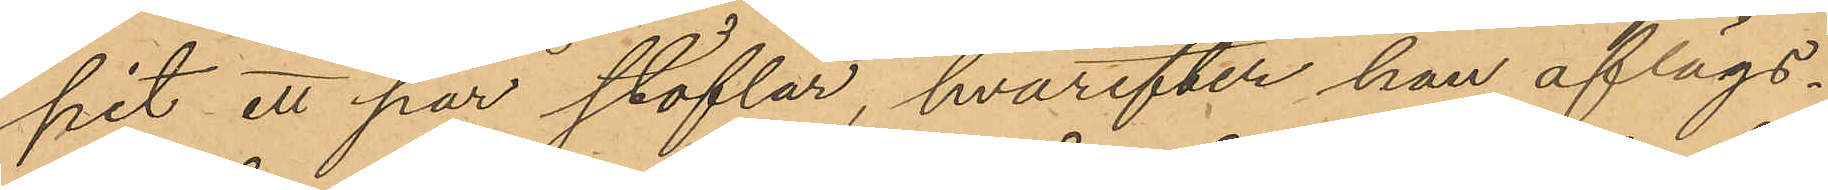pit ett par stöflar, hvarefter han aflägs¬
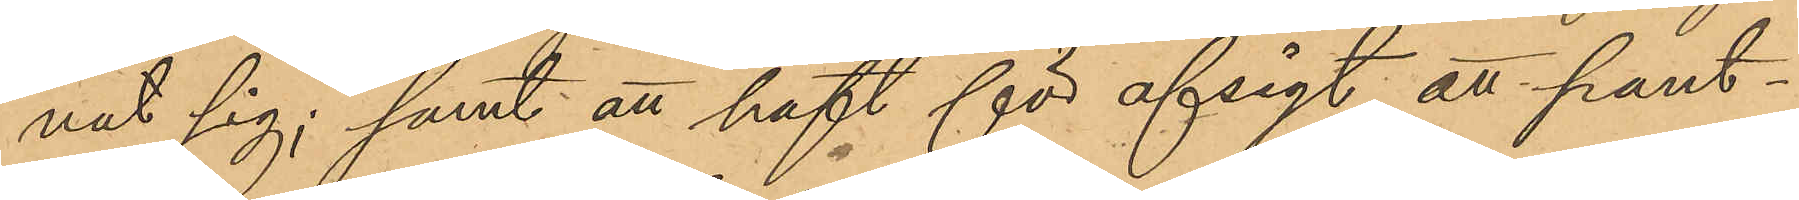nat sig; samt att haft för afsigt att pant¬
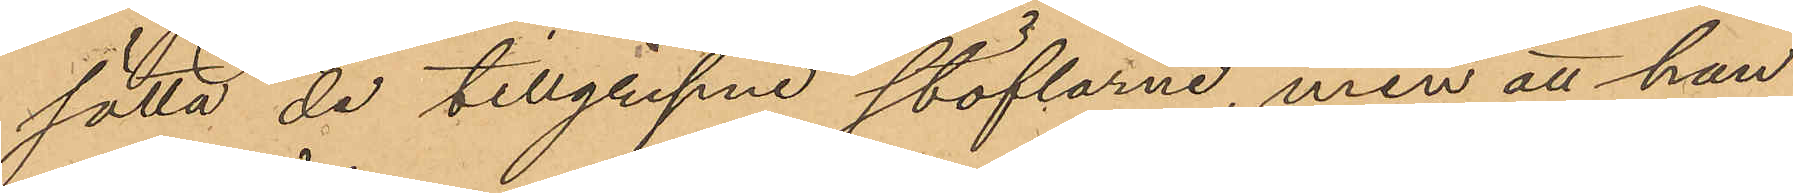sätta de tillgripne stöflarne, men att han
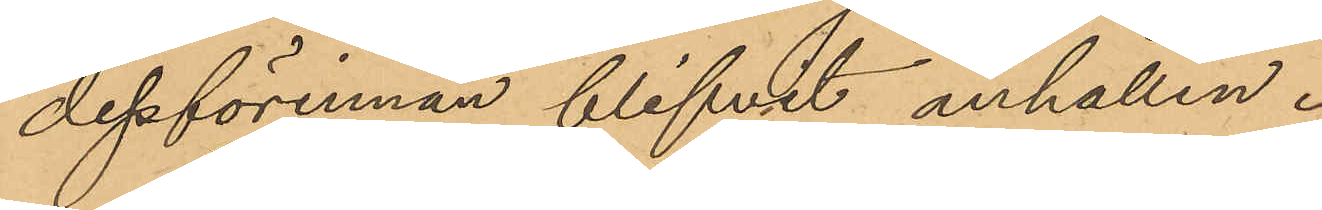dessförinnan blifvit anhållen.
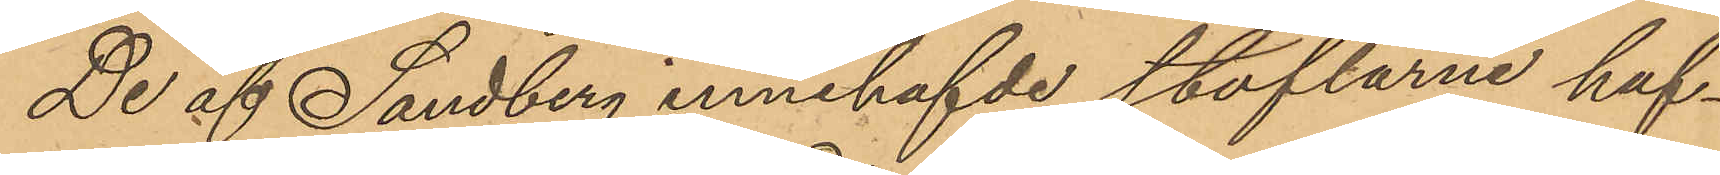De af Sandberg innehafvde stöflarne haf¬
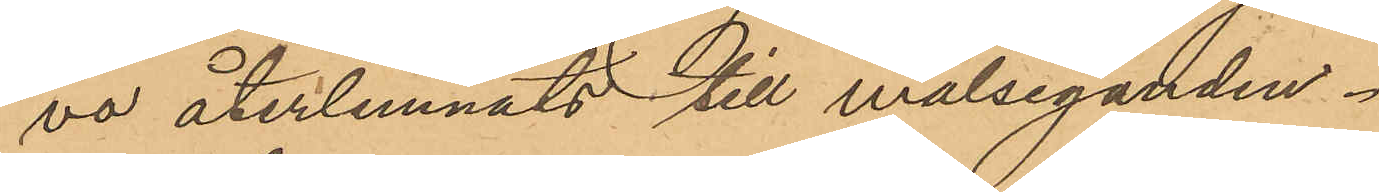va återlemnats till målseganden.
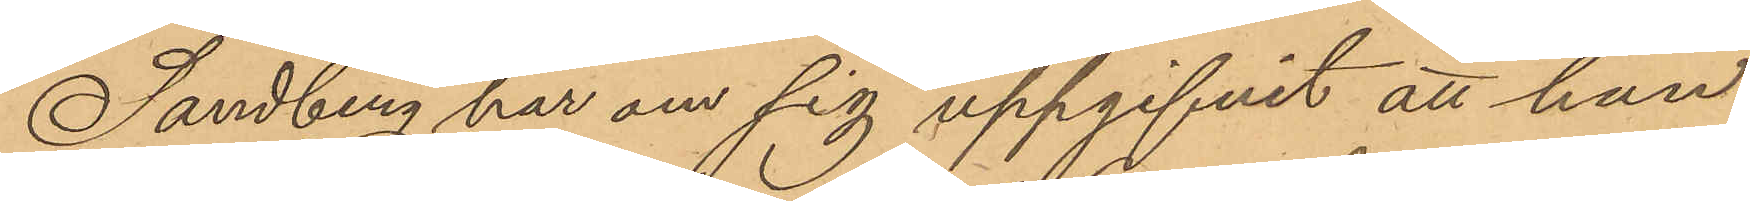Sandberg har om sig uppgifvit att han
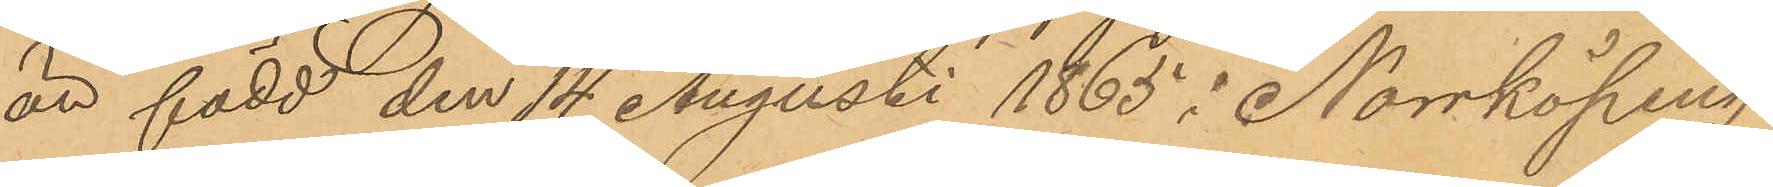är född den 14 Augusti 1865 i Norrköping;
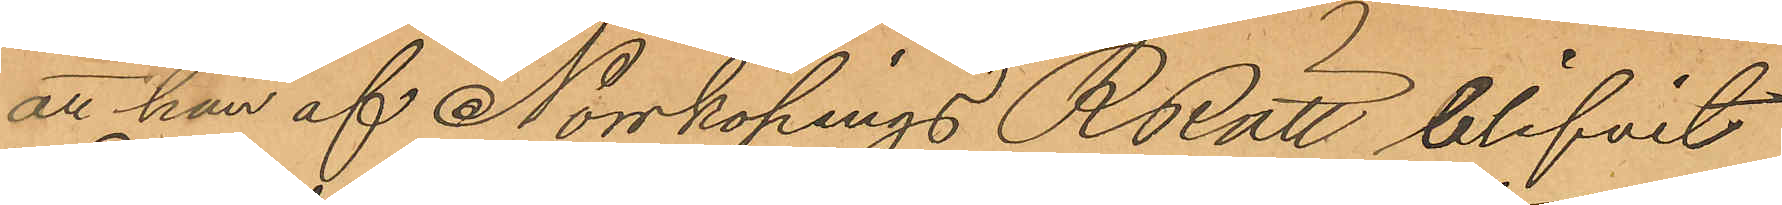att han af Norrköpings RRätt blifvit
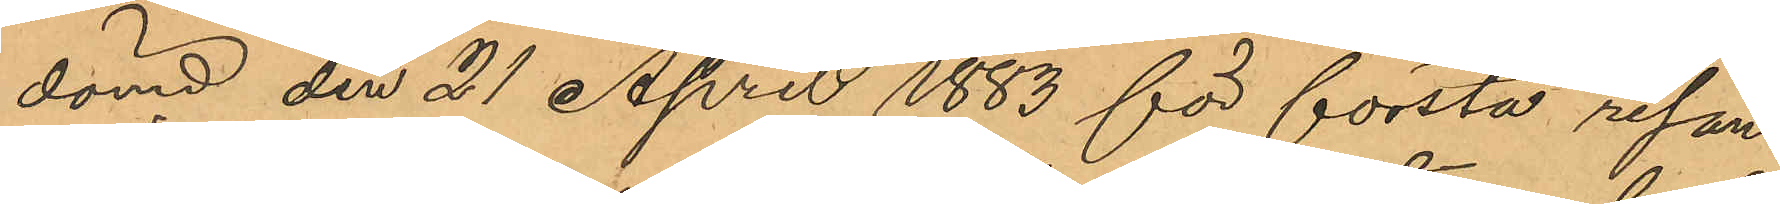dömd den 21 April 1883 för första resan
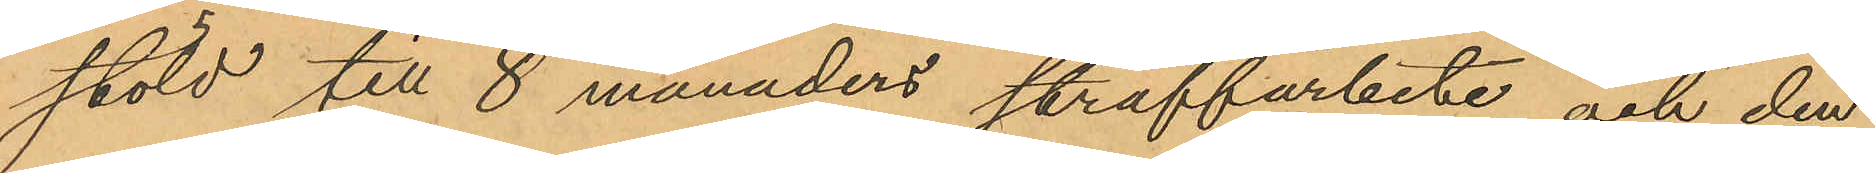stöld till 8 månaders straffarbete och den
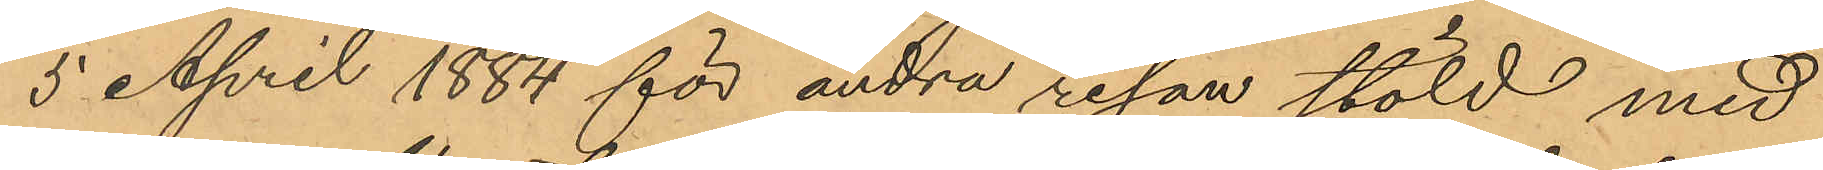5 April 1884 för andra resan stöld med
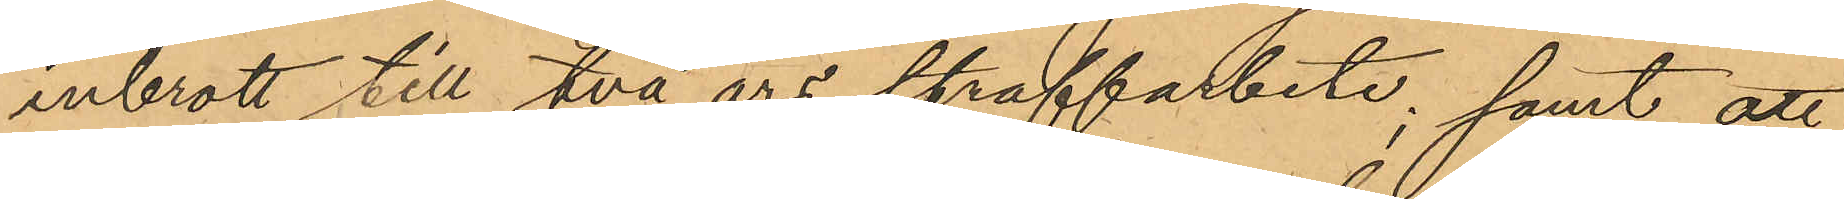inbrott till två års straffarbete; samt att
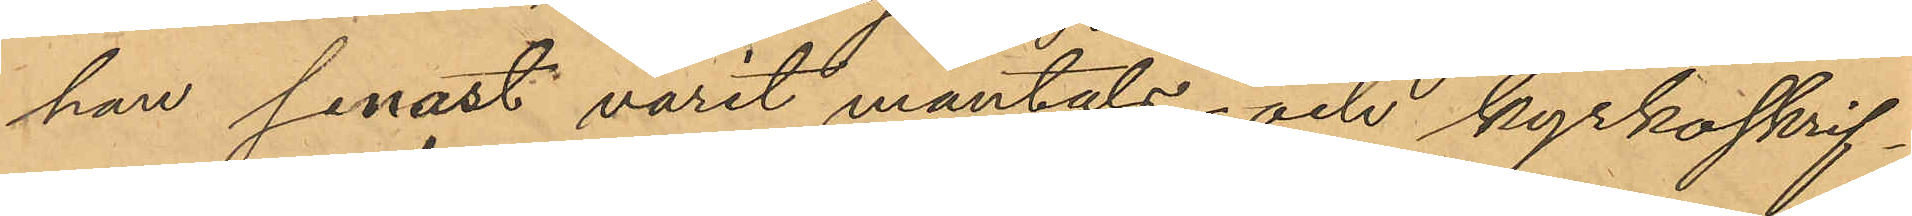han senast varit mantals- och kyrkoskrif¬
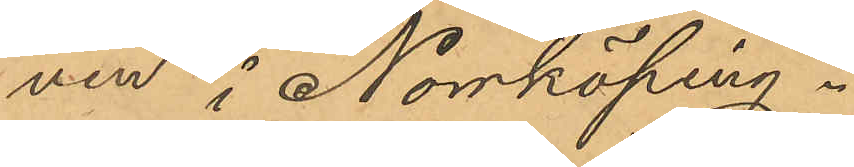ven i Norrköping.
